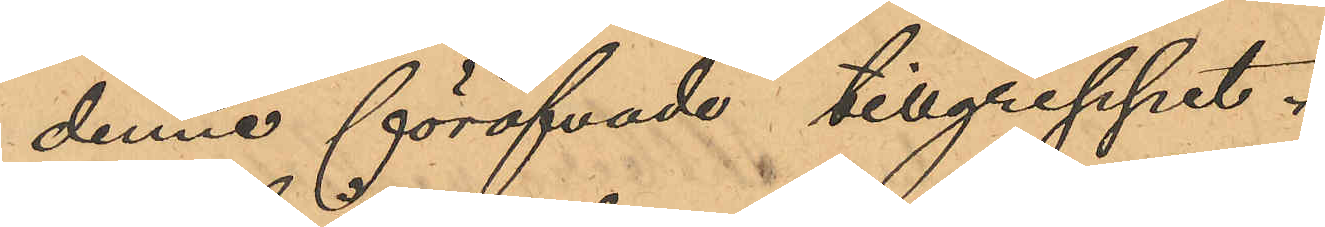denne föröfvade tillgreppet.
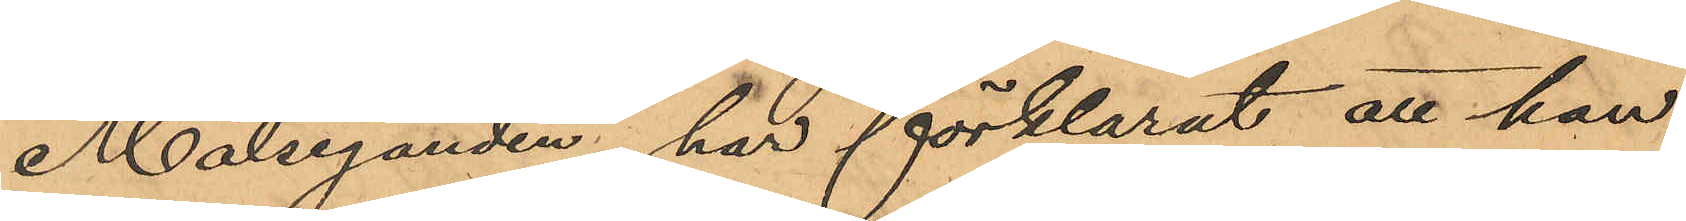Målseganden har förklarat att han
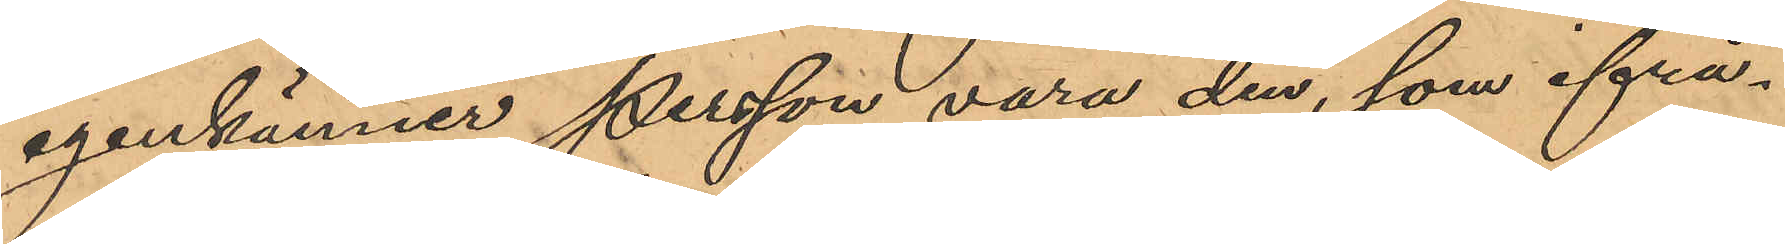igenkänner Persson vara den, som ifrå¬
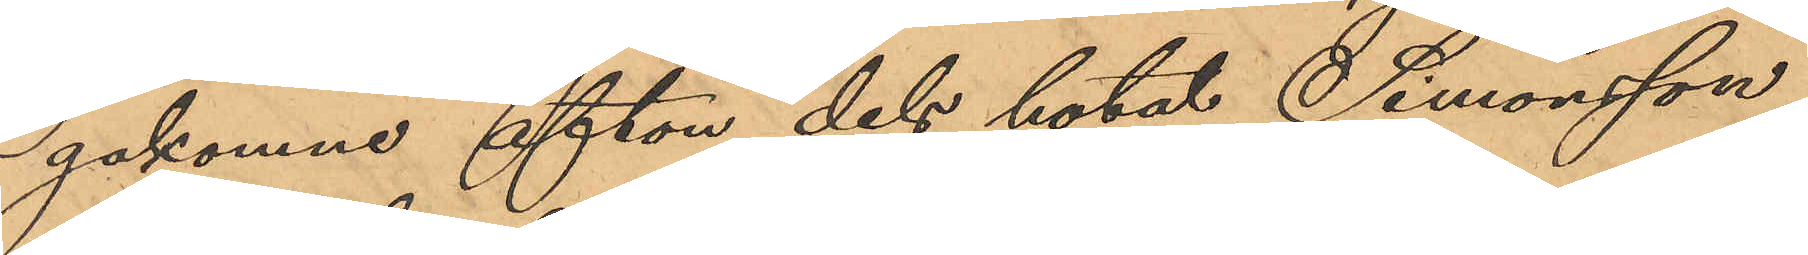gakomne afton dels hotat Simonsson
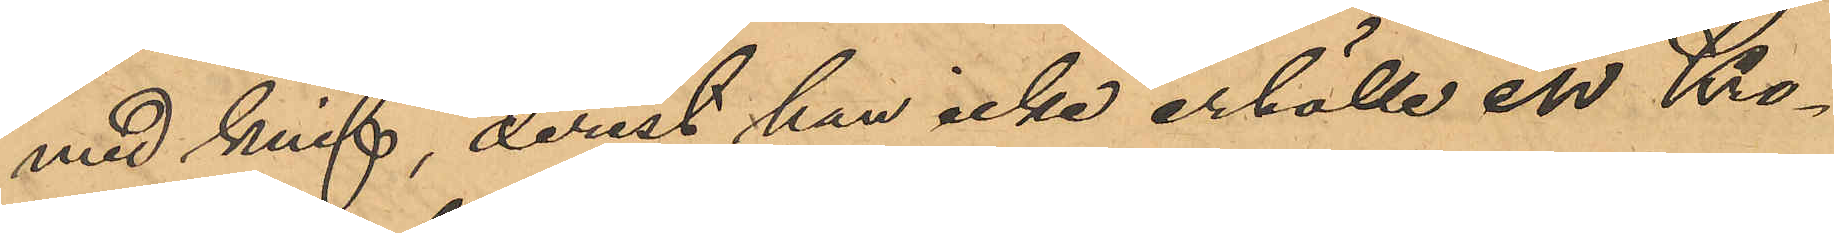med knif, derest han icke erhölle en Kro¬
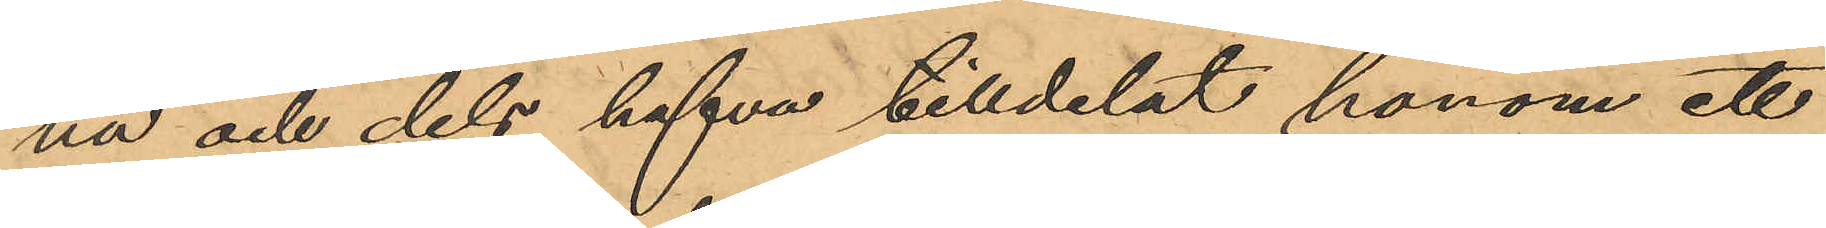na och dels hafva tilldelat honom ett
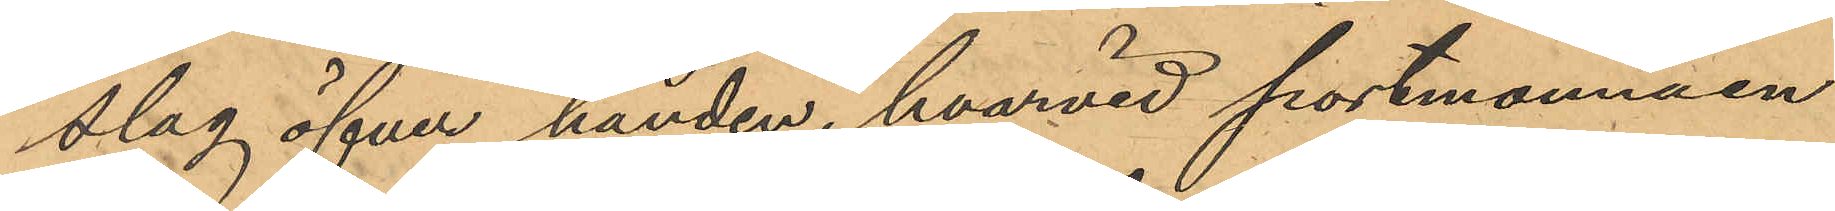slag öfver handen, hvarvid portmonnäen
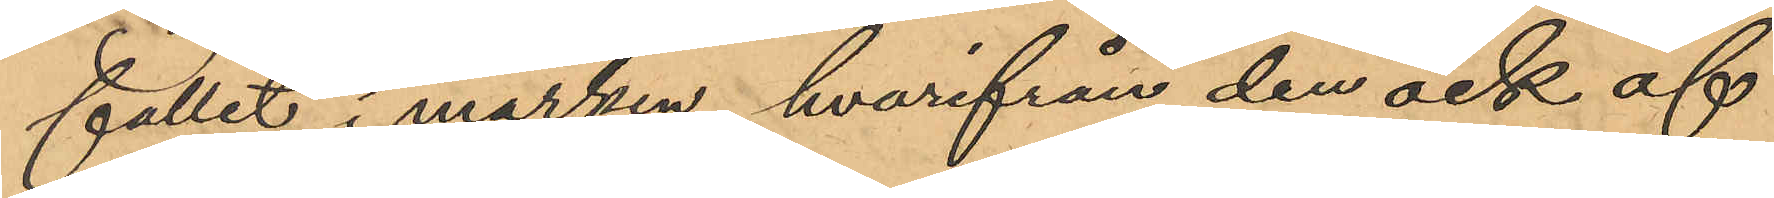fallit i marken, hvarifrån den ock af
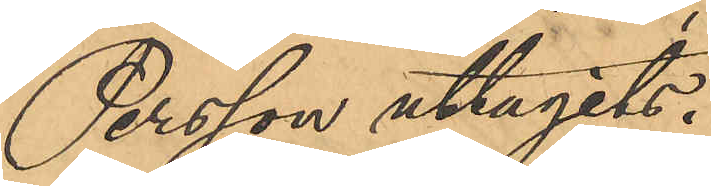Persson uttagits.
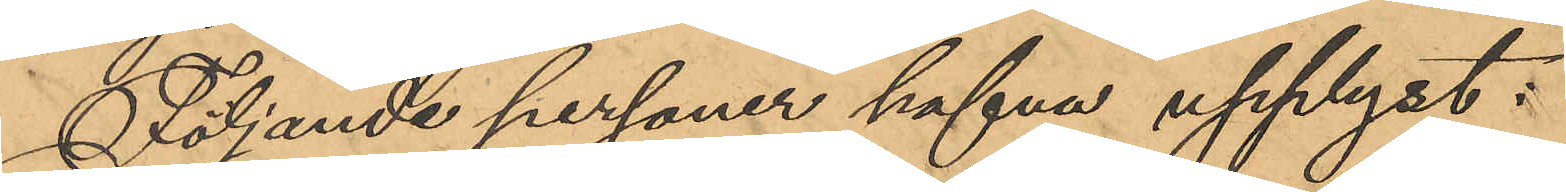Följande personer hafva upplyst:
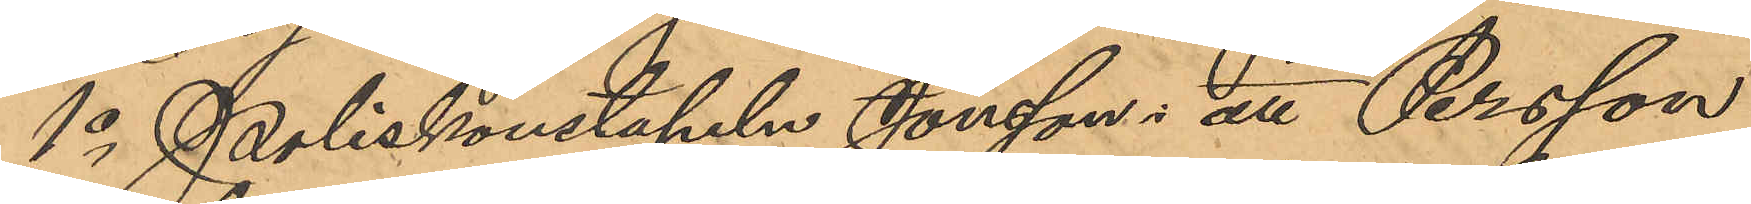1o Poliskonstapeln Jonsson: att Persson
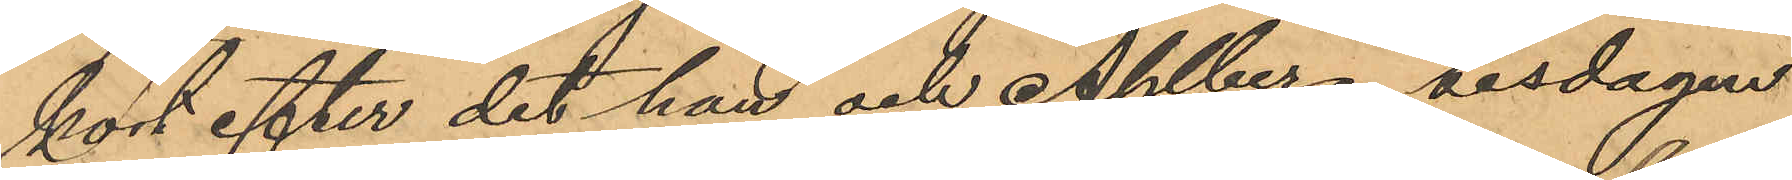kort efter det han och Ahlberg tisdagen
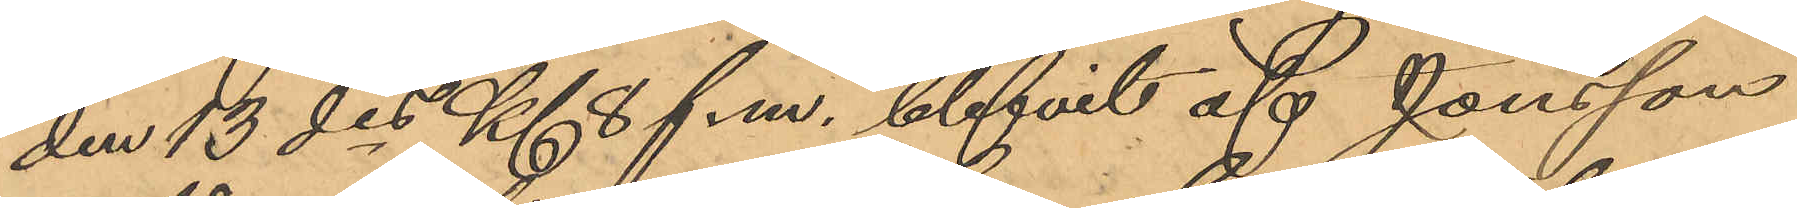den 13 des Kl 8 f.m. blifvit af Jonsson
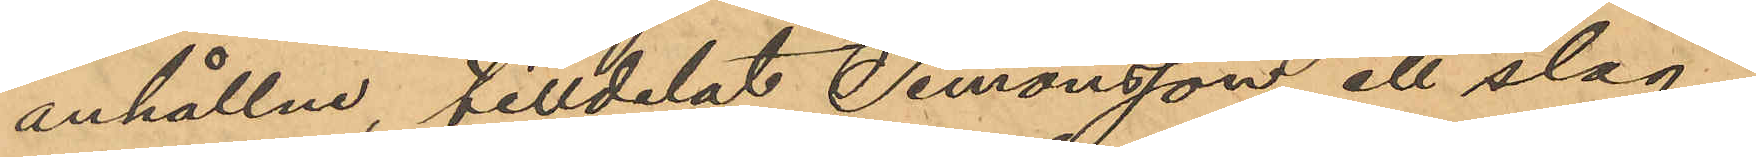anhållne, tilldelat Simonsson etl slag i
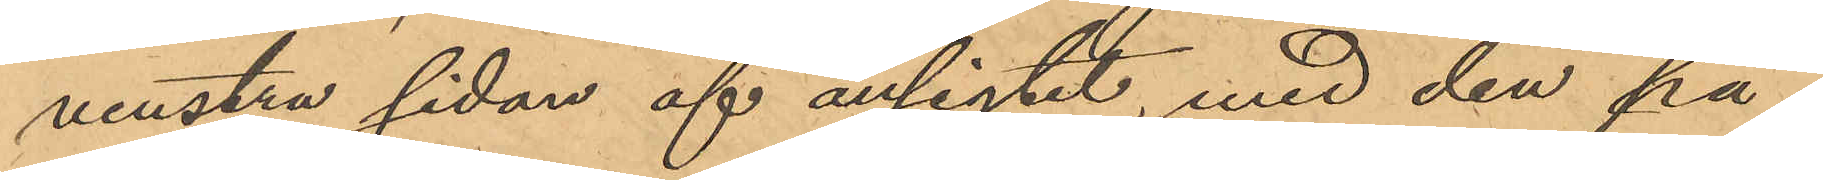venstra sidan af ansigtet, med den på¬
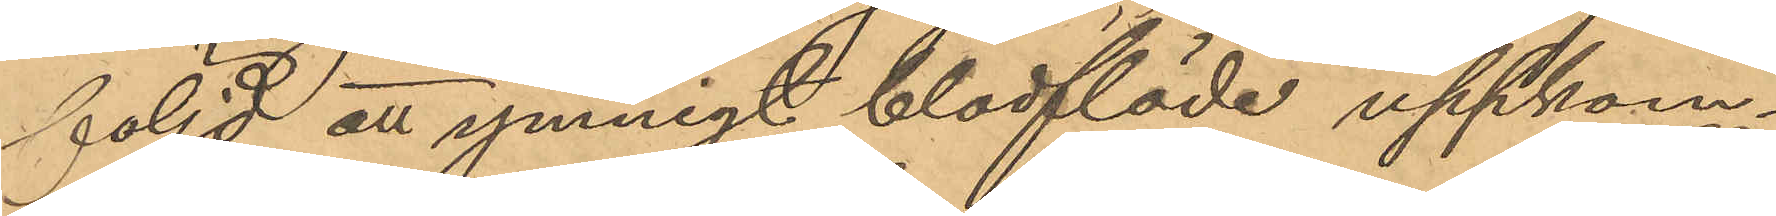följd att ymnigt blodflöde uppkom¬
